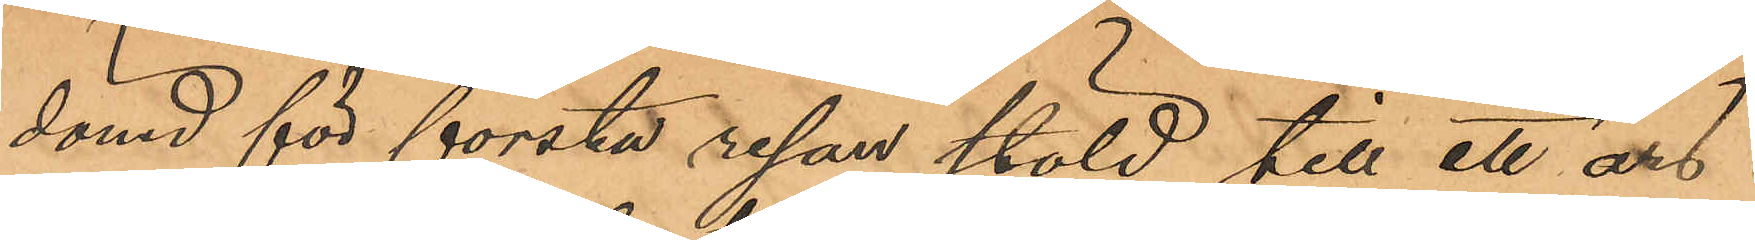dömd för första resan stöld till ett års
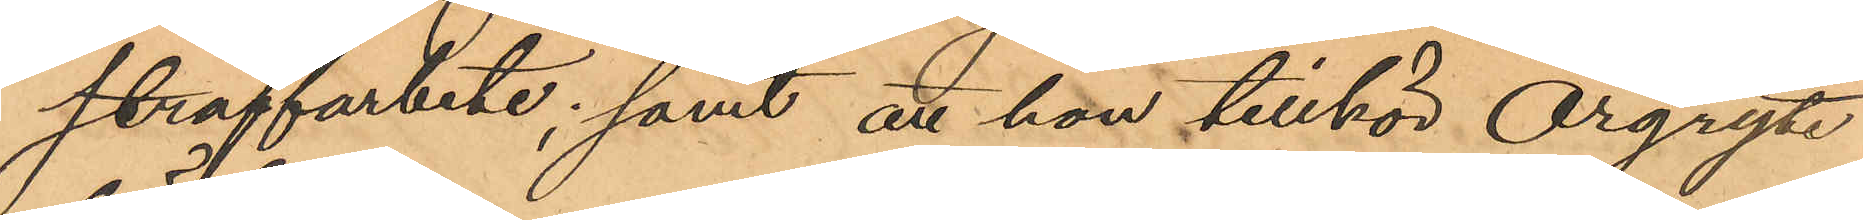straffarbete; samt att hon tillhör Örgryte
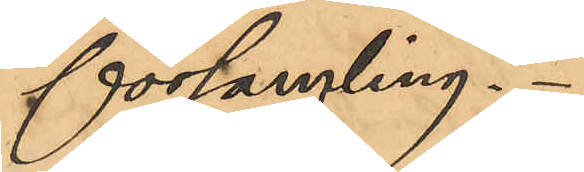församling.
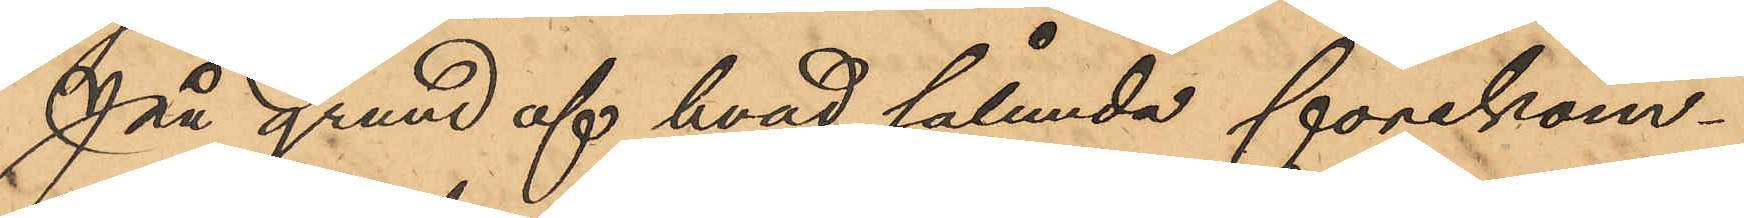På grund af hvad sålunda förekom¬
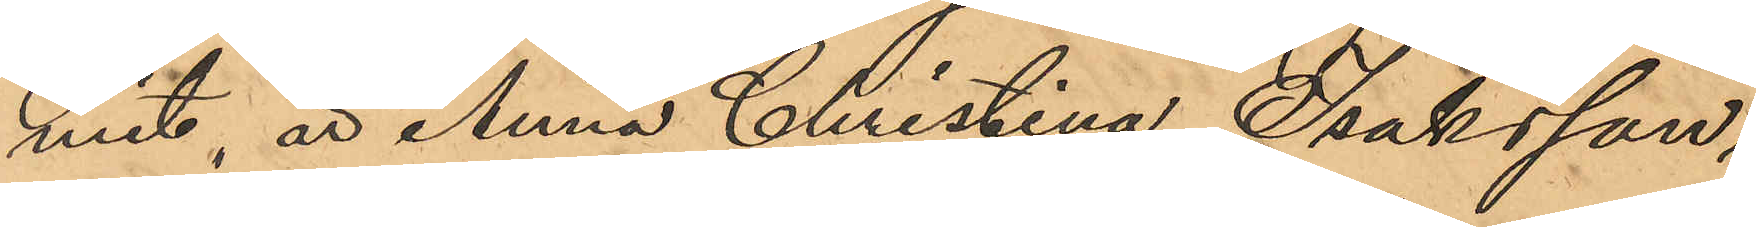mit, är Anna Christina Isaksson,
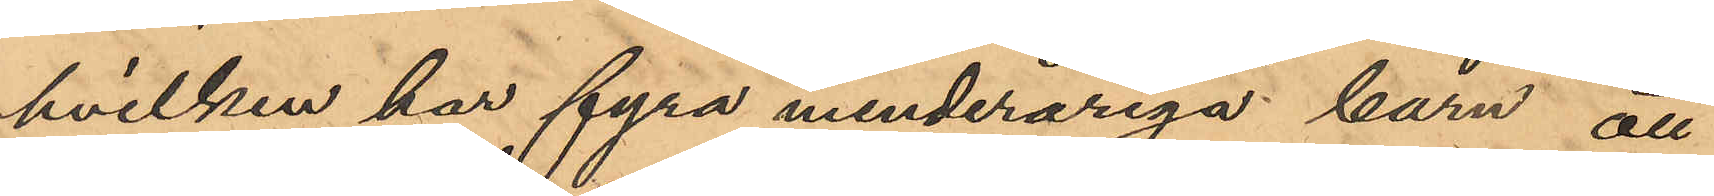hvilken har fyra minderåriga barn att
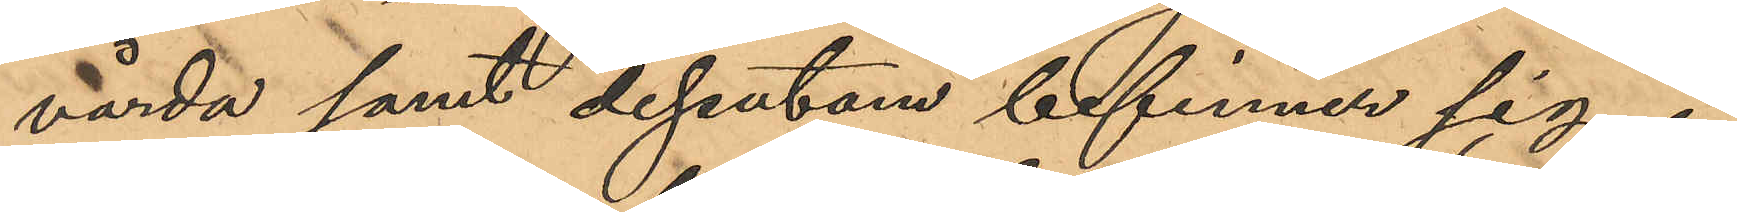vårda samt dessutom befinner sig i
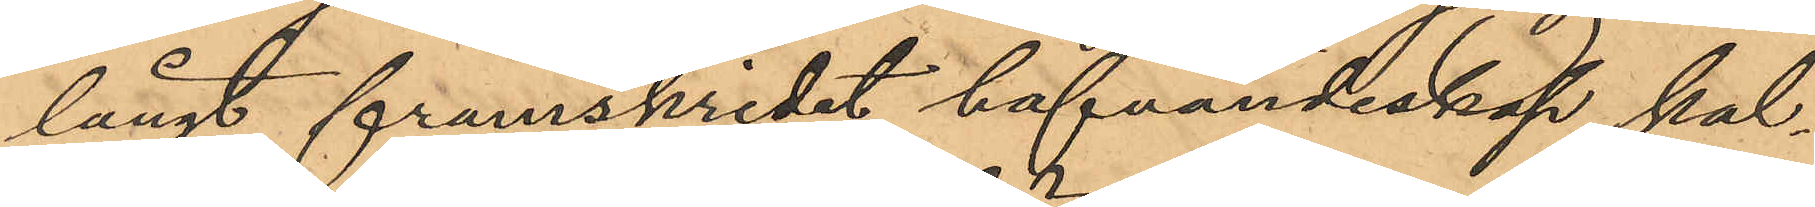långt framskridet hafvandeskap, kal¬
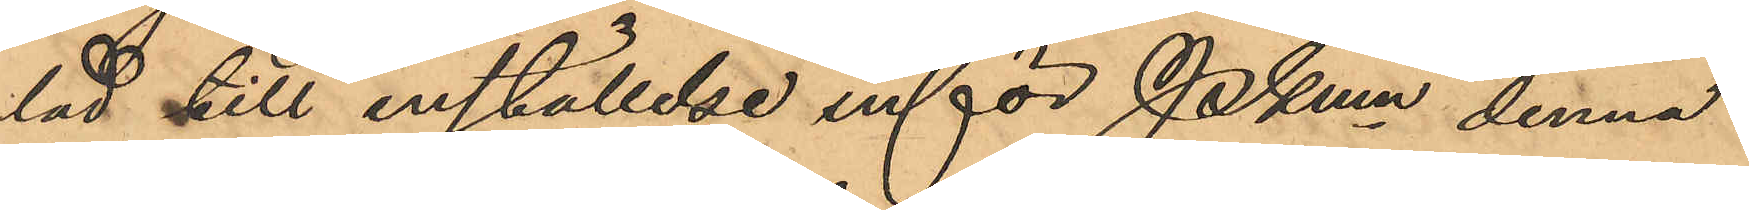lad till inställelse inför Pkmn denna
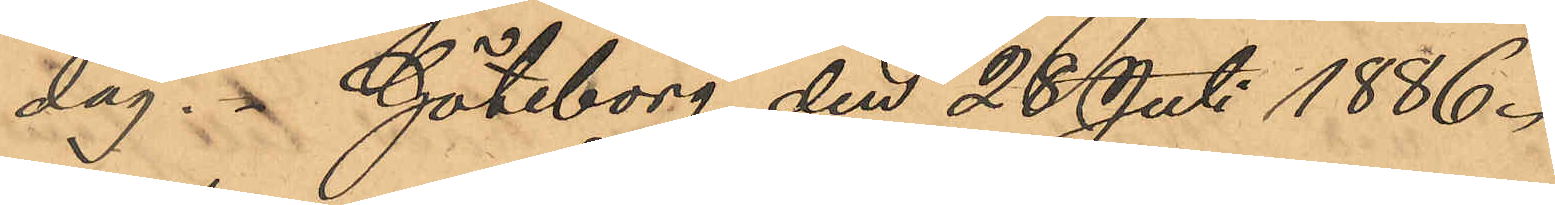dag. Göteborg den 28 Juli 1886.
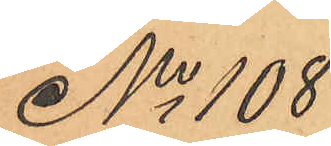No 108
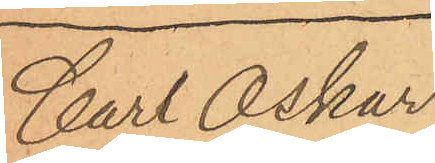Carl Oscar
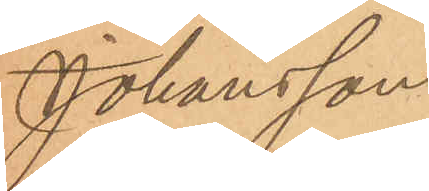Johansson
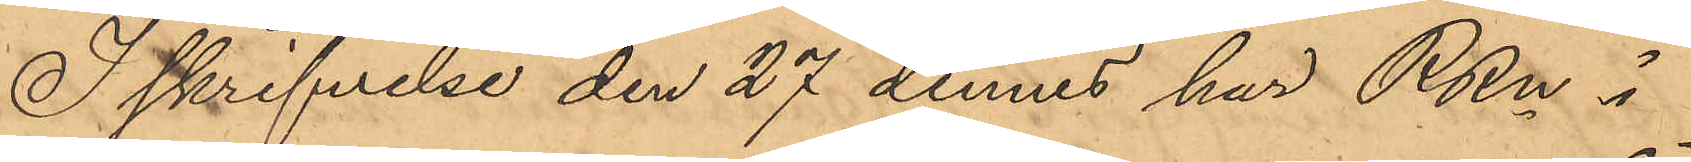I skrifvelse den 27 dennes har RRn i
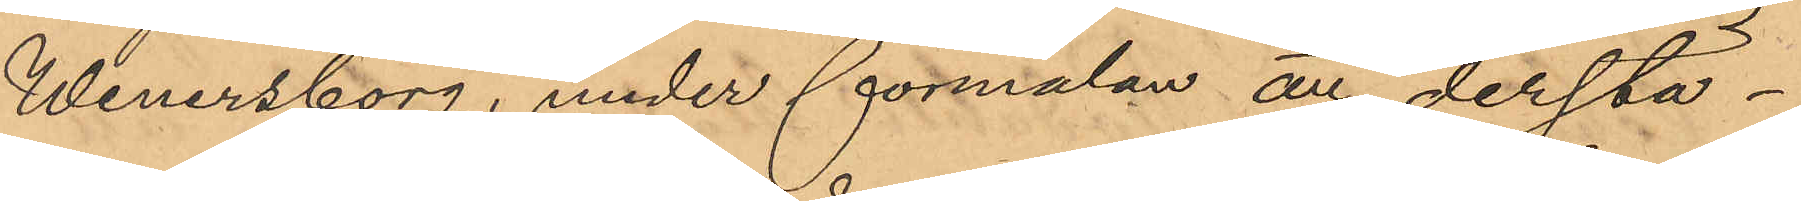Wenersborg, under förmälan att derstä¬
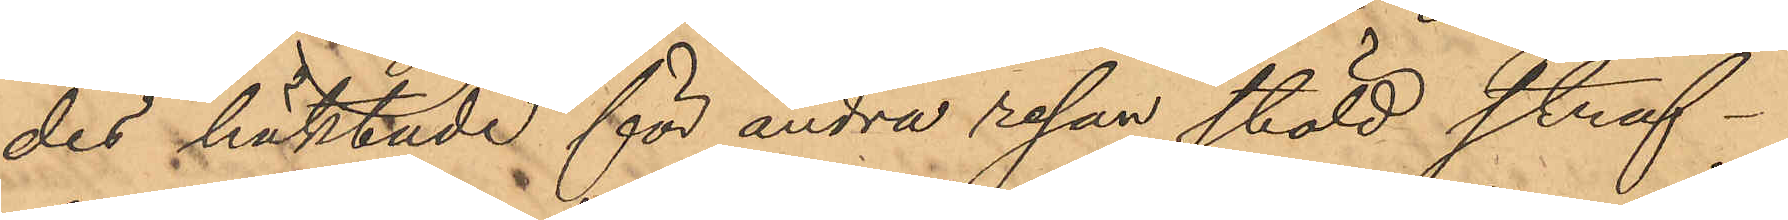des häktade för andra resan stöld straf¬
